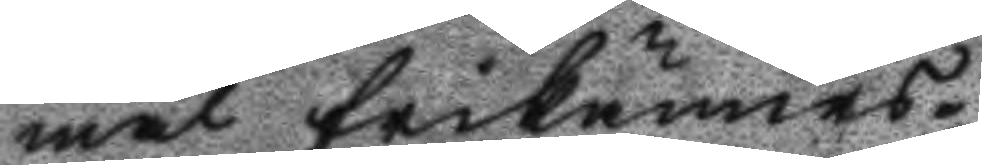mål frikännas.
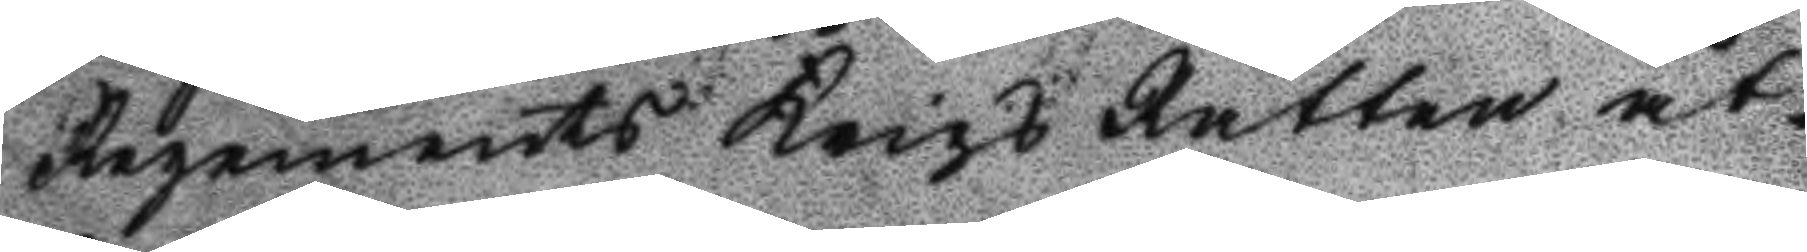Rgemnets Krihs Rätten åt¬
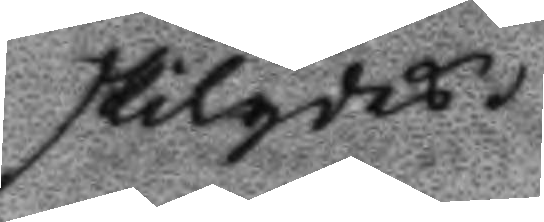skilgdes.
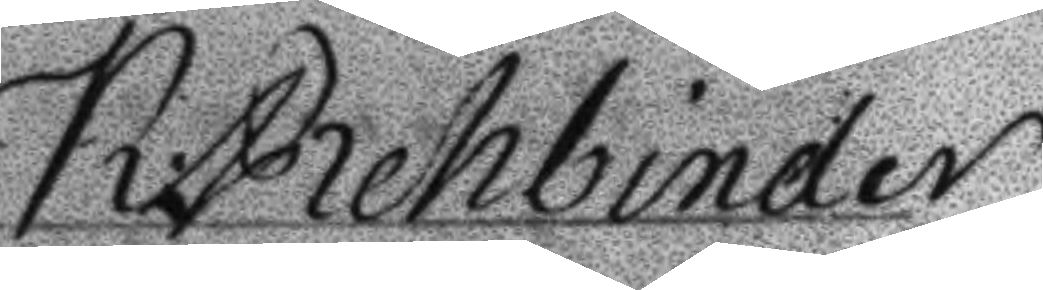K: Rehbinder
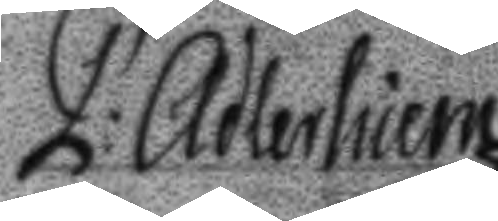P: Adlerheim
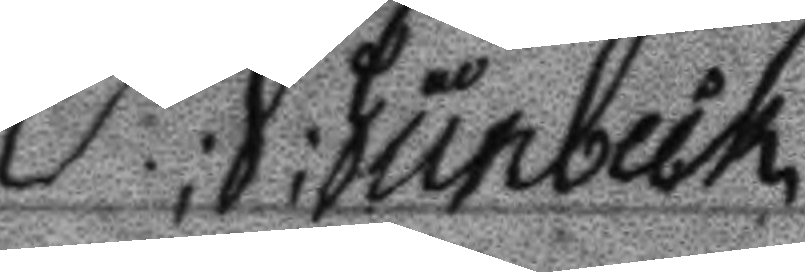P; J; Junbeck
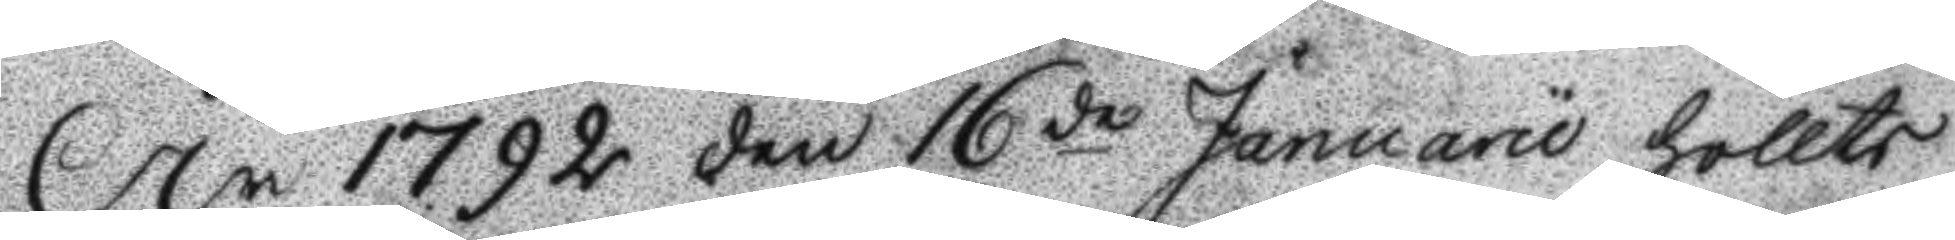År 1792 den 16de Januarii höllts
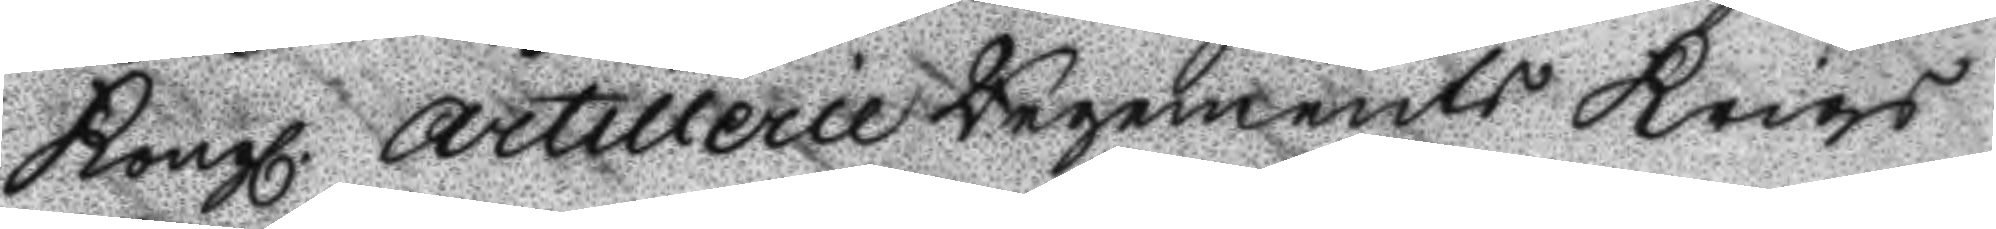Kongl. Artillerie Regements Krigs
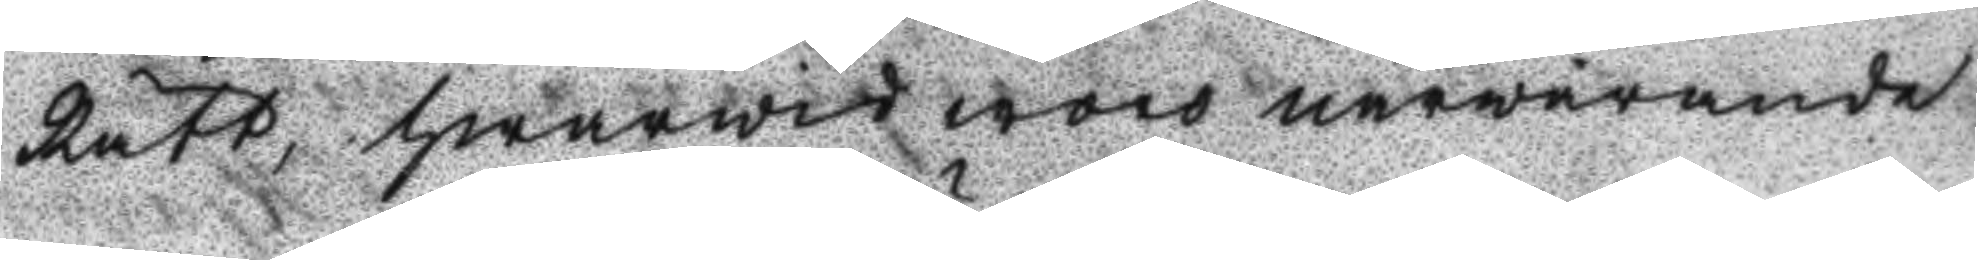Rätt, hwarwid woro närwarande
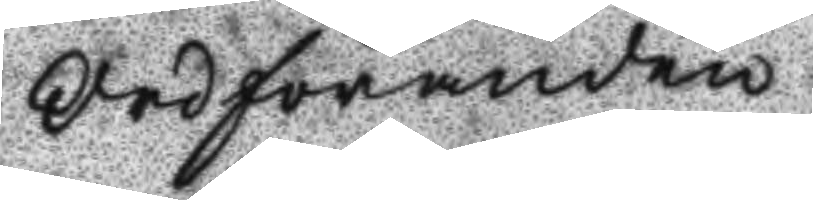Ordföranden
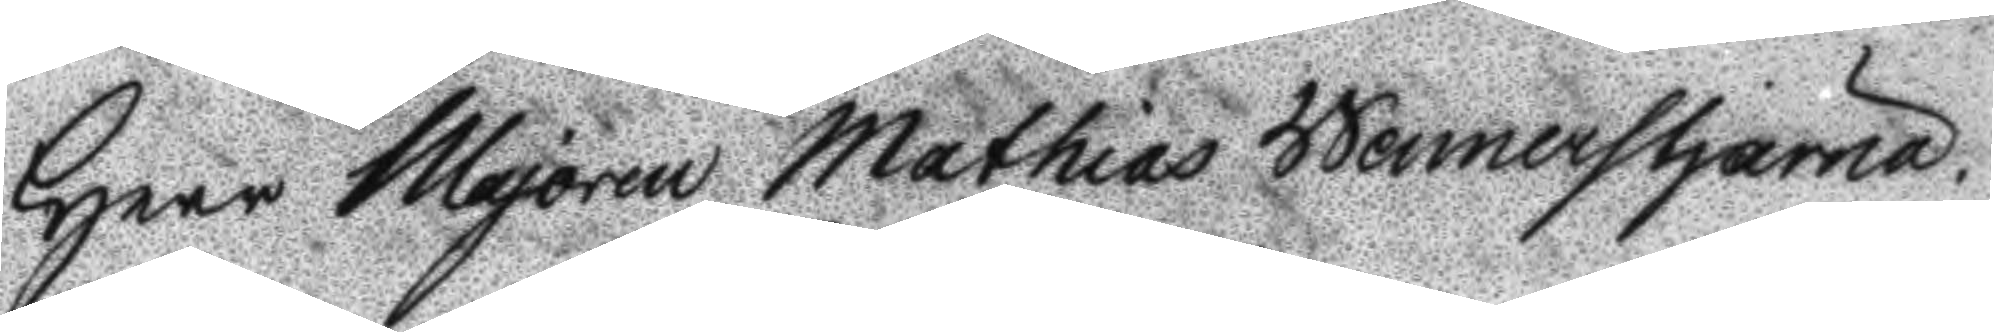Herr Majoren Mathias Wennerstjärna.
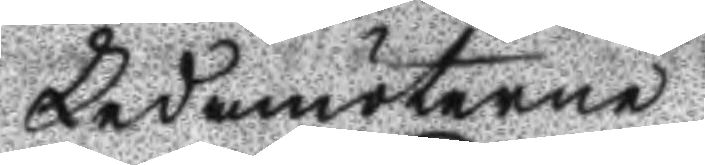Ledamöterne
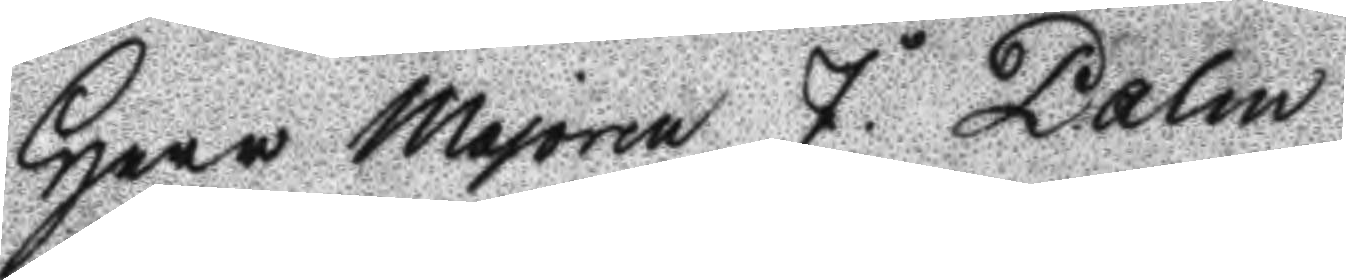Herr majoren J. Dalin
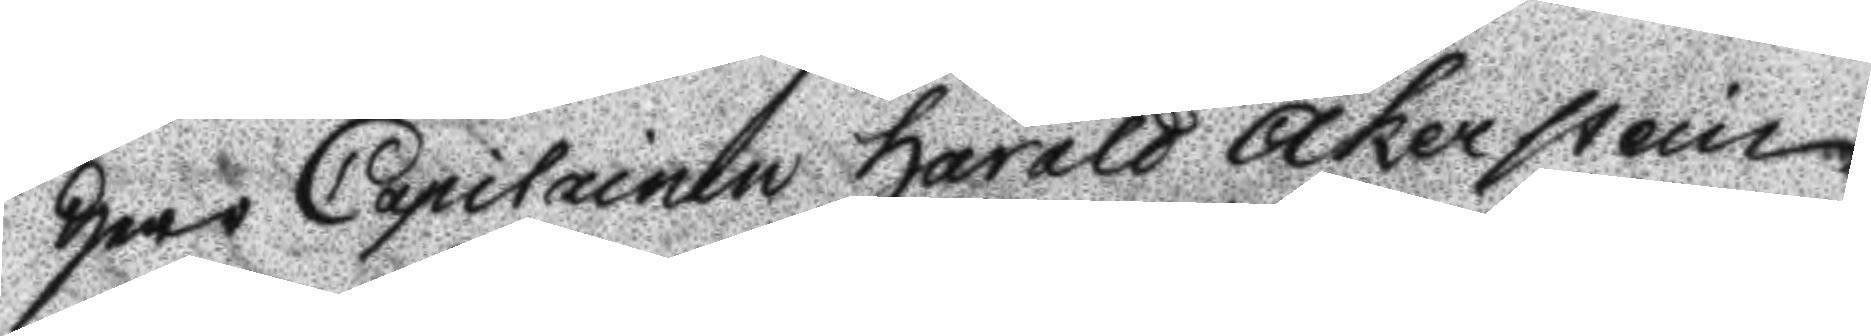Herr Capitainen Harald Åkerstein
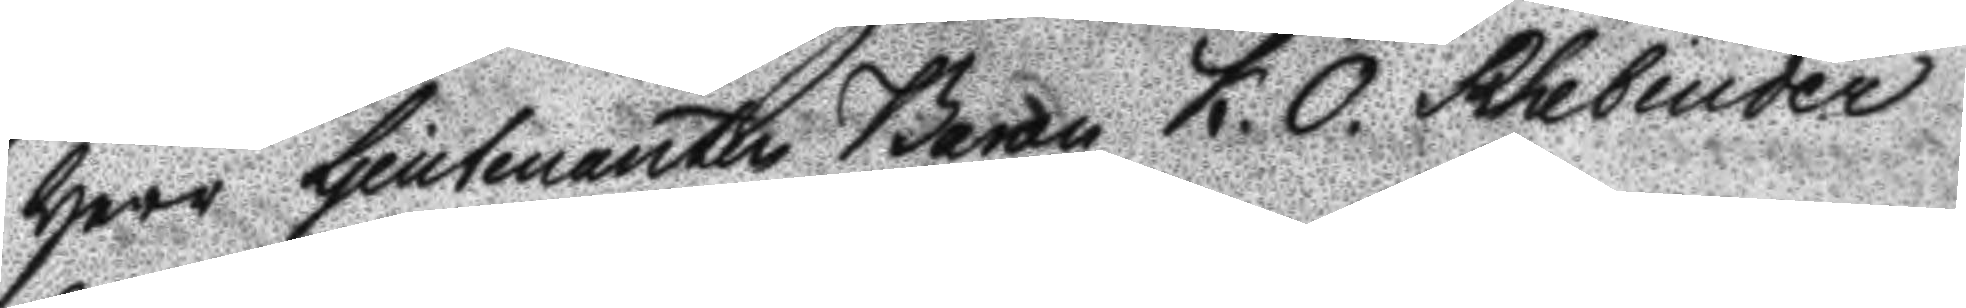Herr Ljeutnanten Baron K. O. Rhebinder
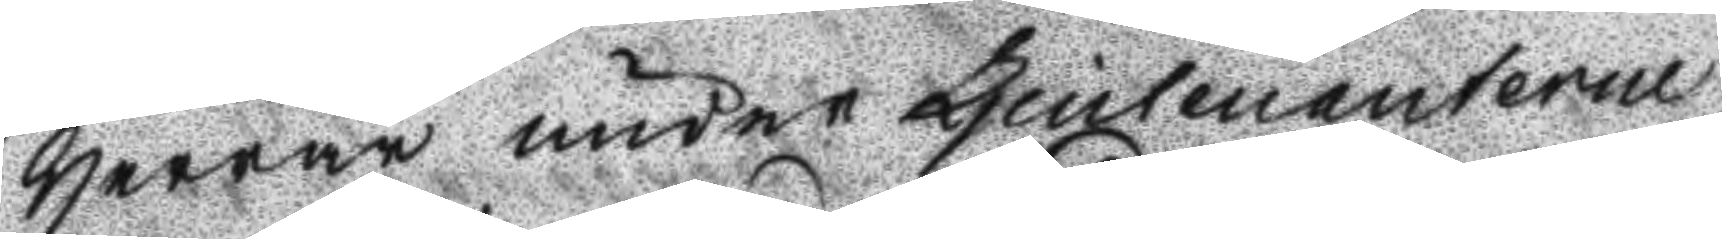Herrar under Ljeutnanterne
